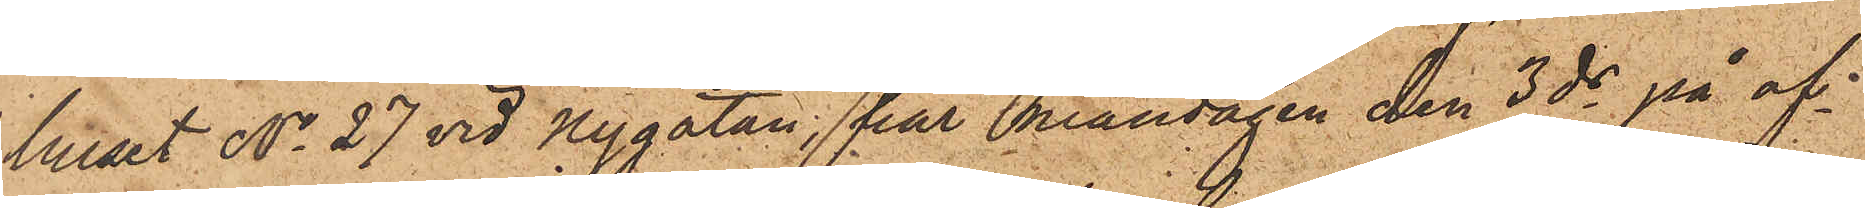huset No 27 vid Nygatan, har måndagen den 3 ds på af¬
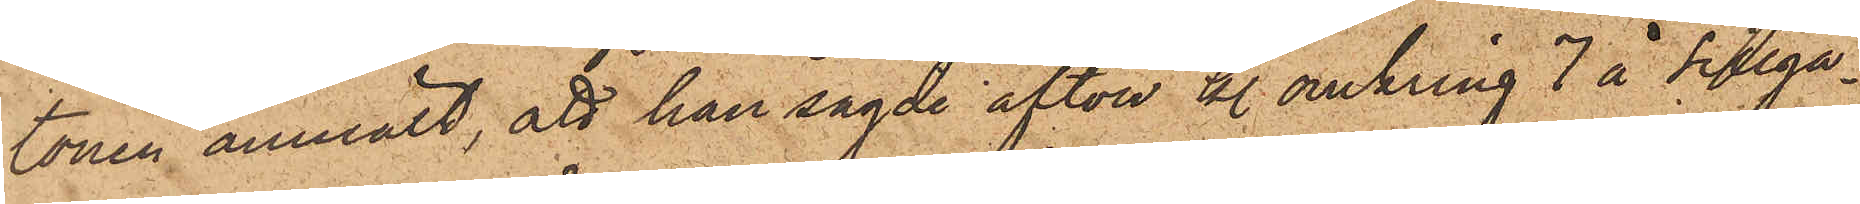tonen anmält, att han sagde afton kl. omkring 7 å Sillga¬
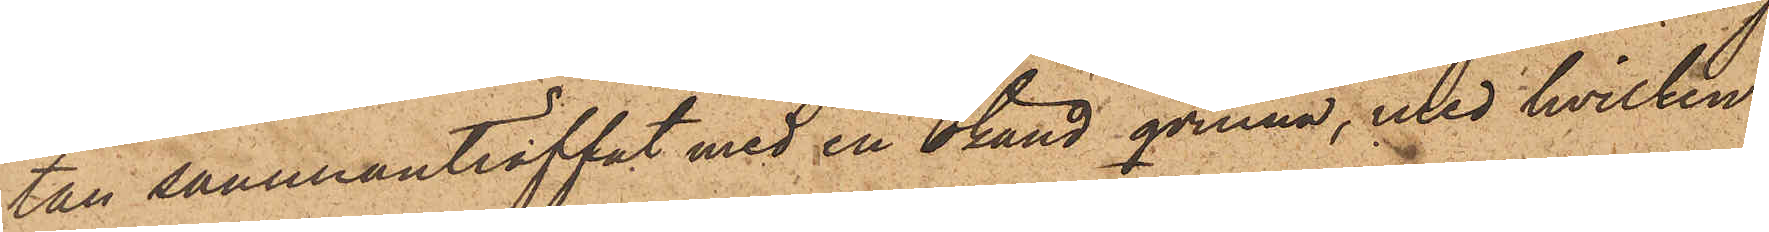tan sammanträffat med en okänd qvinna, med hvilken
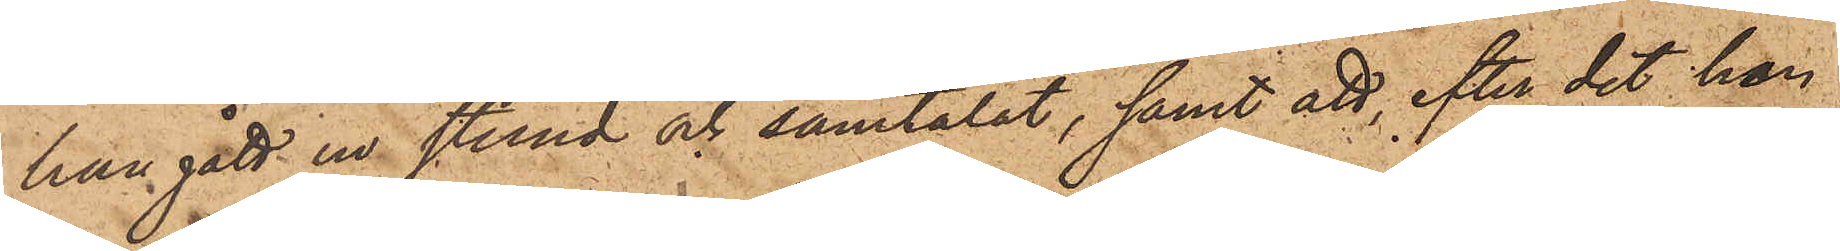han gått en stund och samtalat, samt att, efter det hon
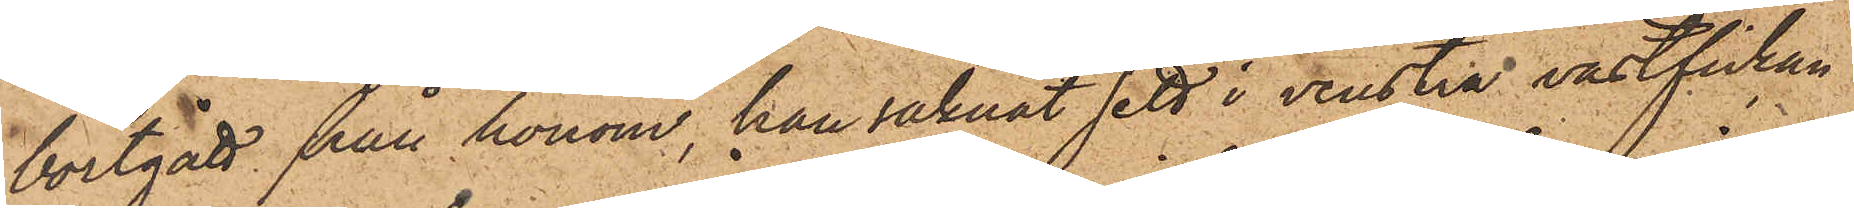bortgått från honom, han saknat sett i venstra västfickan
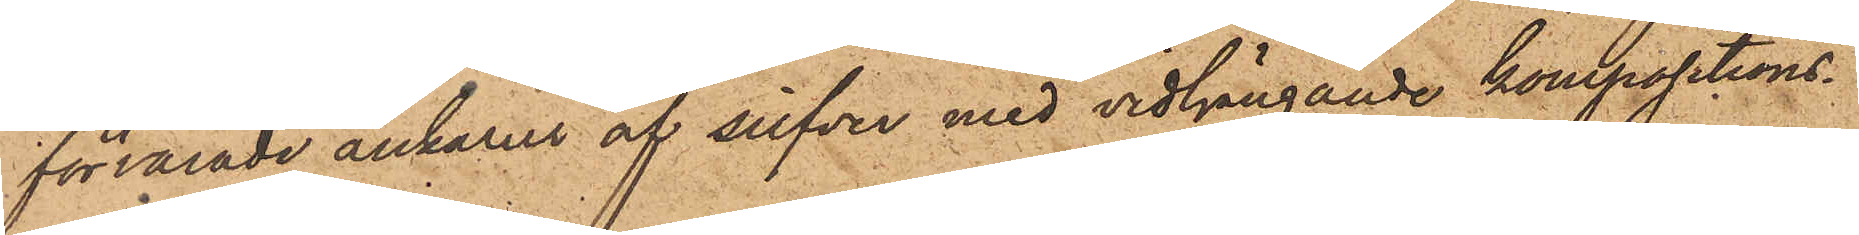förvarade ankarur af silfver med vidhängande kompositions¬
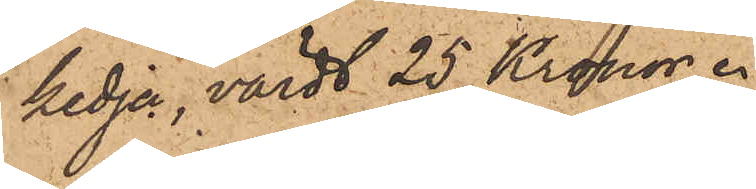kedja, värdt 25 Kronor.
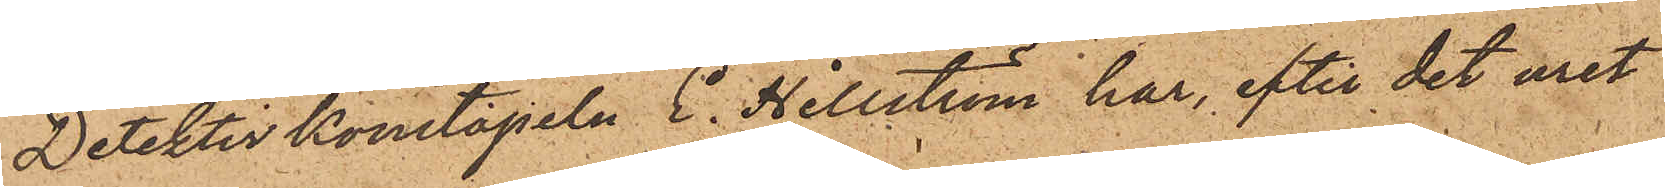Detektivkonstapeln E. Hillström har, efter det uret
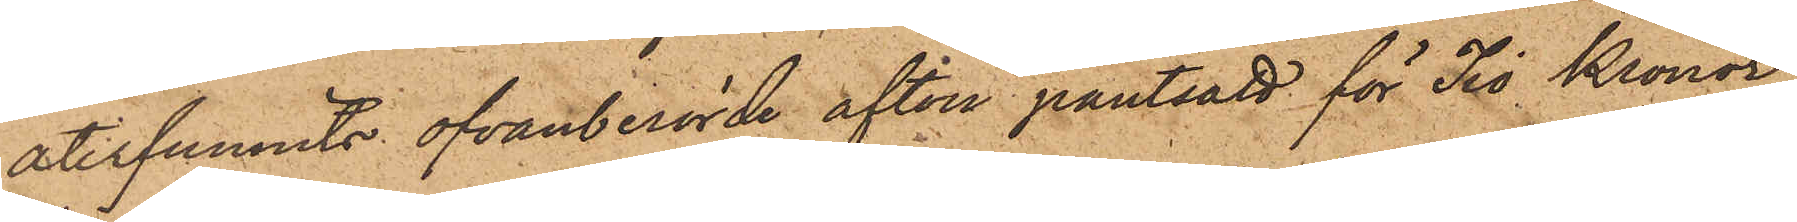återfunnits ofvanberörde afton pantsatt för Tio Kronor,
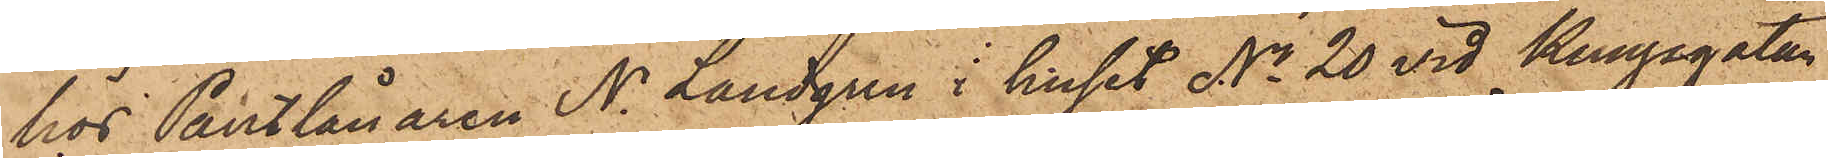hos Pantlånaren N. Landgren i huset No 20 vid Kungsgatan
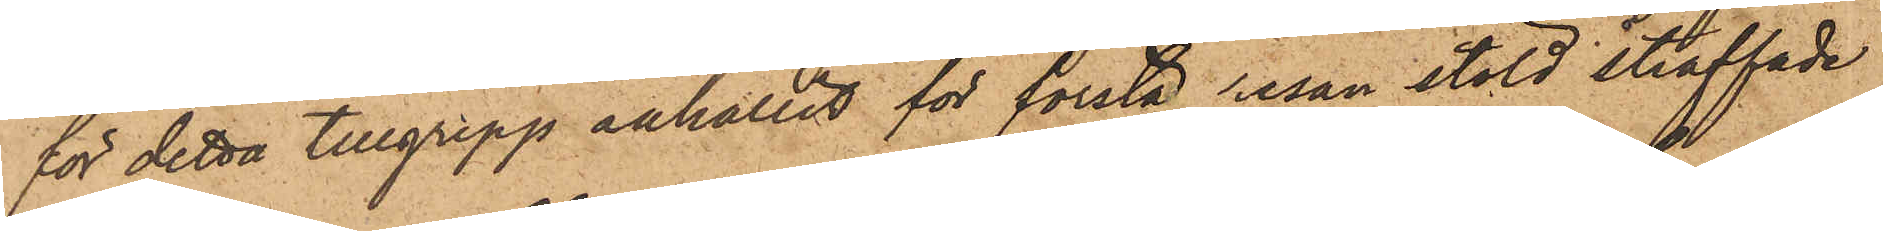för detta tillgrepp anhållit för första resan stöld straffade
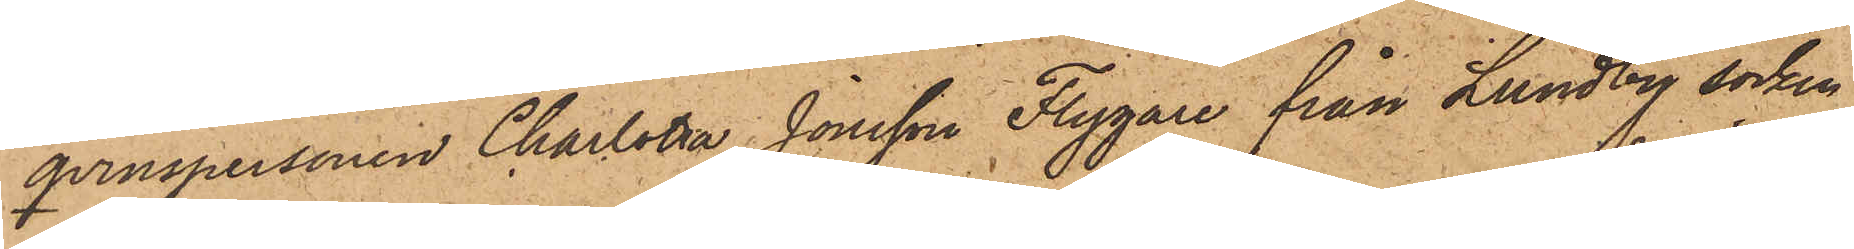qvinspersonen Charlotta Jonsson Flygare från Lundby socken
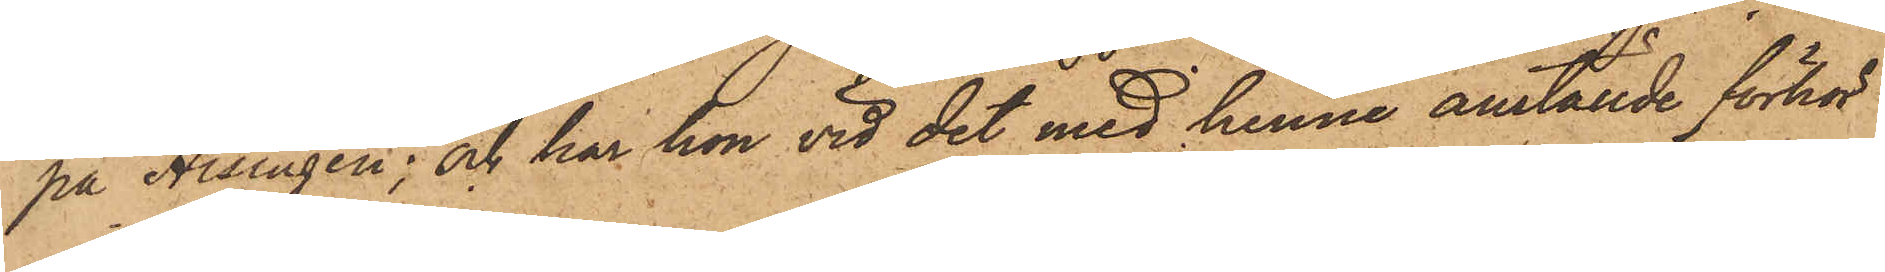på Hisingen; och har hon vid det med henne anställde förhör
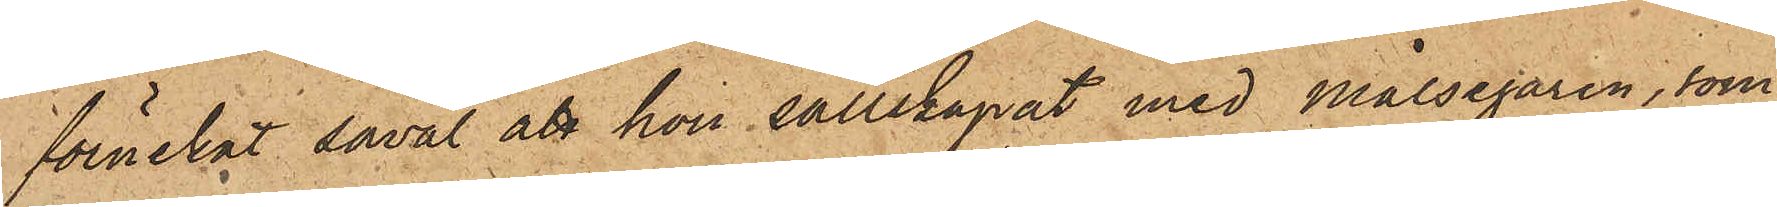förnekat såväl att hon sällskapat med målsegaren, som
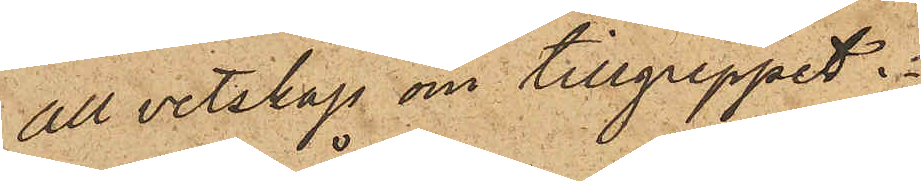all vetskap om tillgreppet.
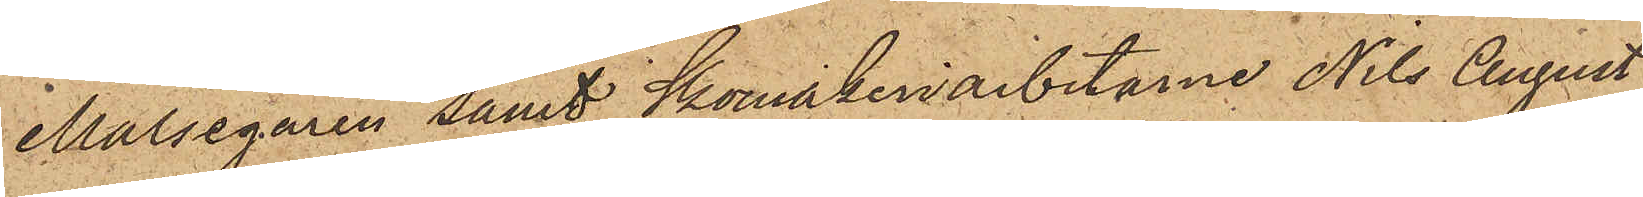Målsegaren samt Skomakeriarbetarne Nils August
